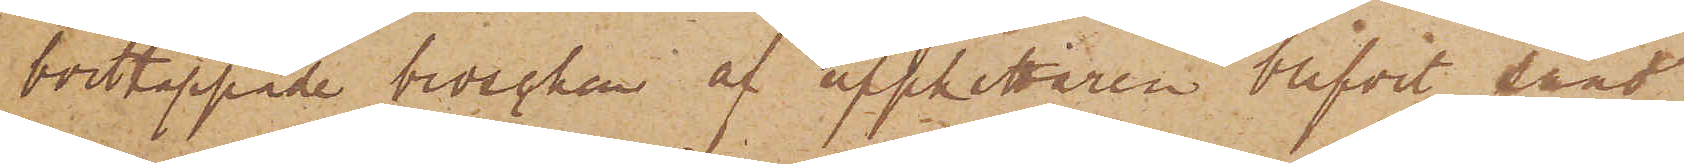borttappade broschen af upphittaren blifvit sänd
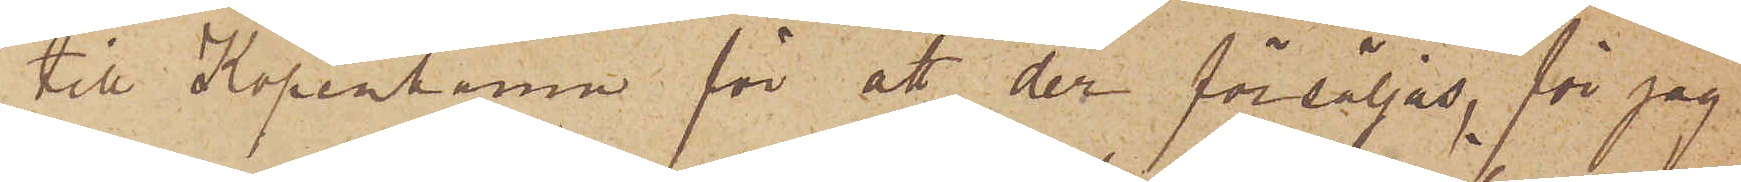till Köpenhamn för att der försäljas, får jag
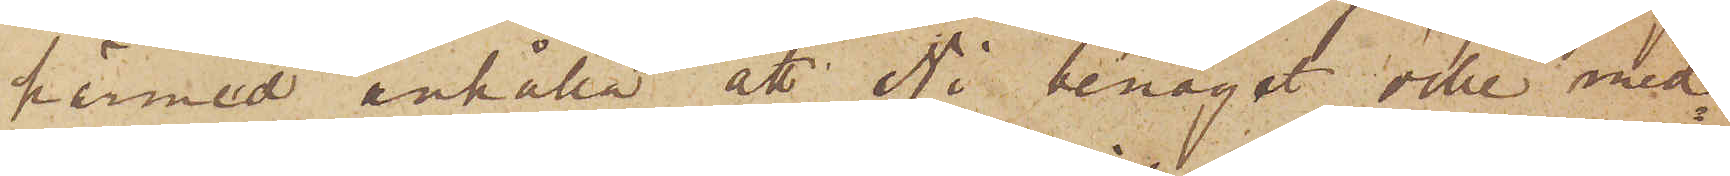härmed anhålla att Ni benäget ville med¬
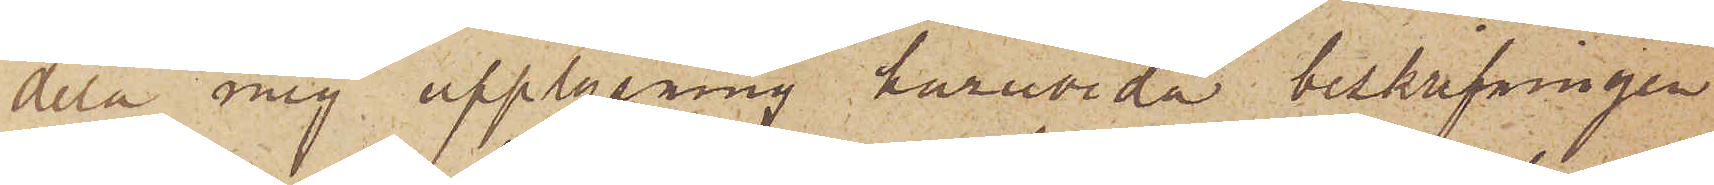dela mig upplysning huruvida beskrifningen
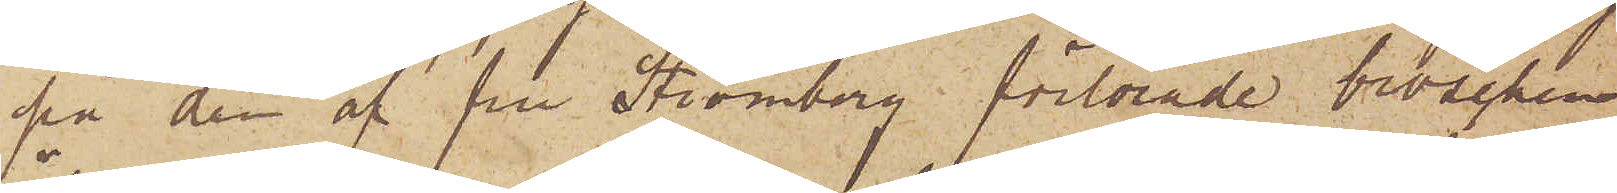på den af från Strömberg förlorade broschen
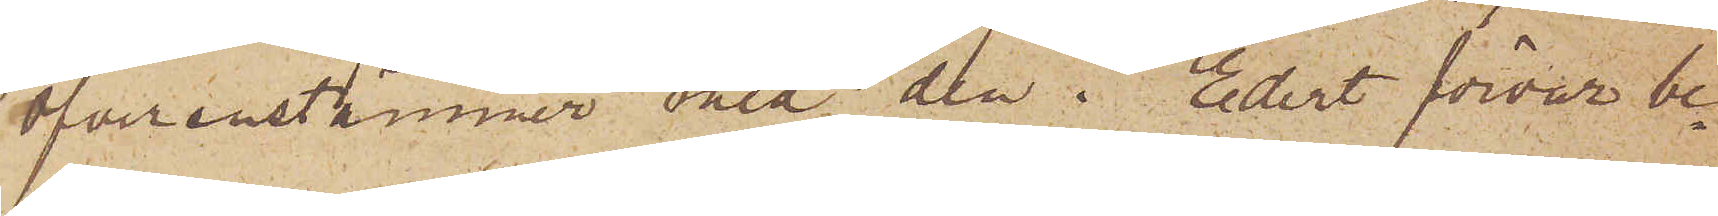öfverenstämmer med den i Edert förvar be¬
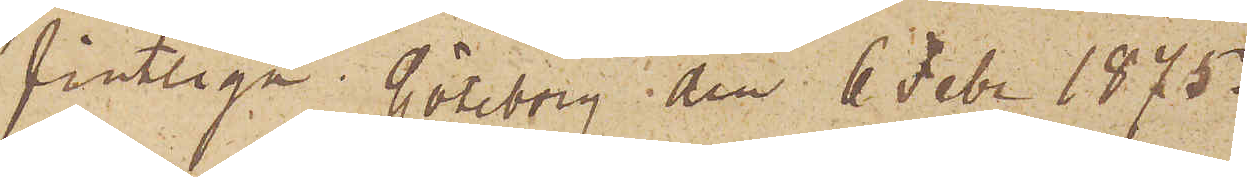fintliga.  Göteborg den 6 Febr 1875.
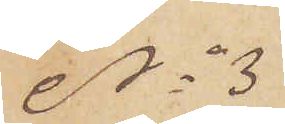No 3
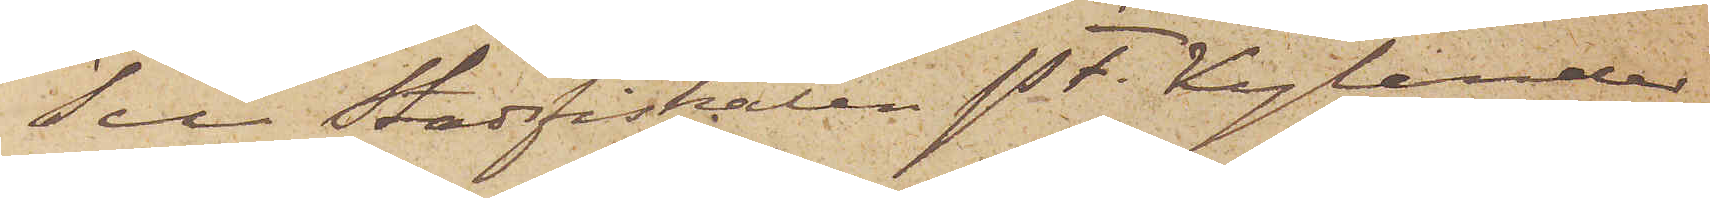Till Stadsfiskalen P.F. Kylander
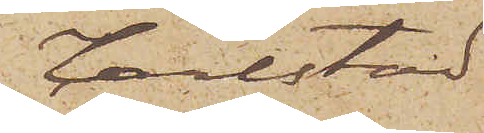Carlstad
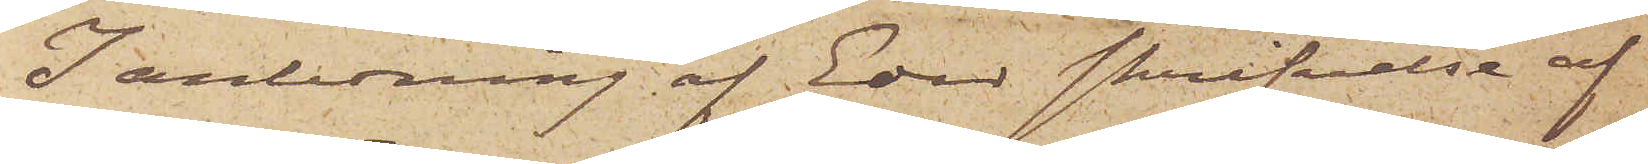I anledning af Eder skrifvelse af
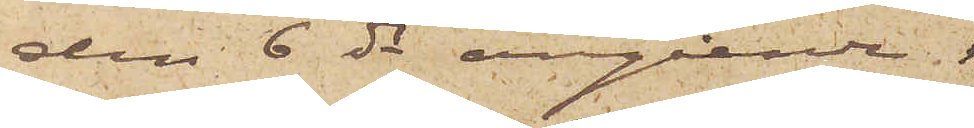den 6 ds angående
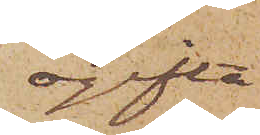ogifta
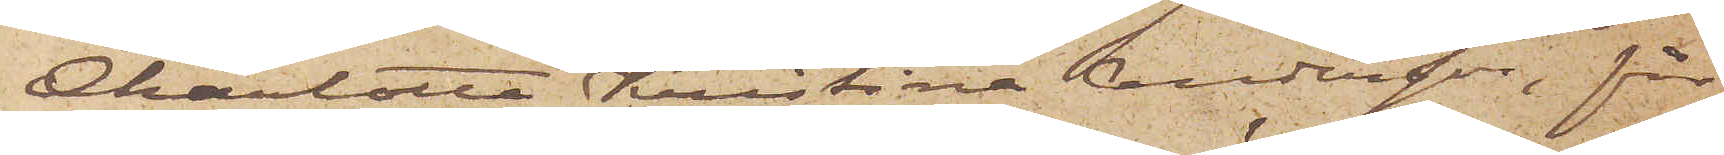Charlotta Kristina Andersson, får
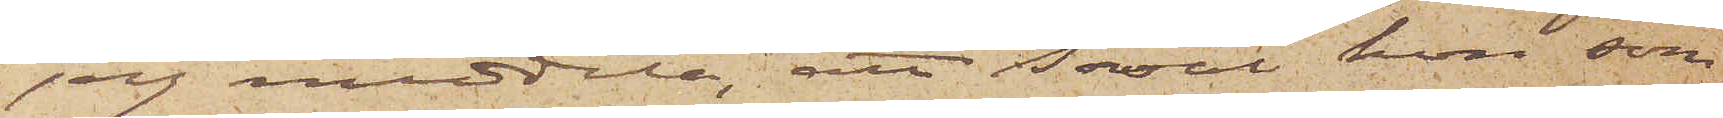jag meddela, att såväl hon som
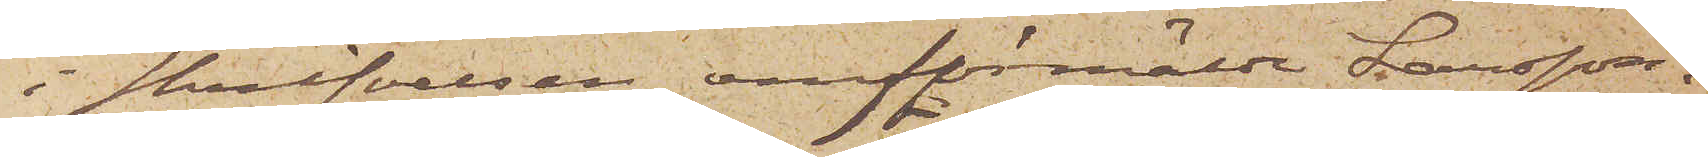i skrifvelsen omförmälde Larsson.
